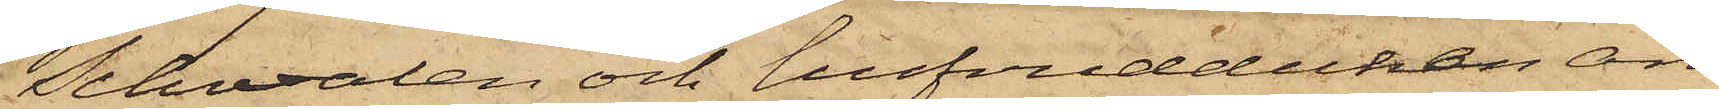Schwalen och hufvudduken äro
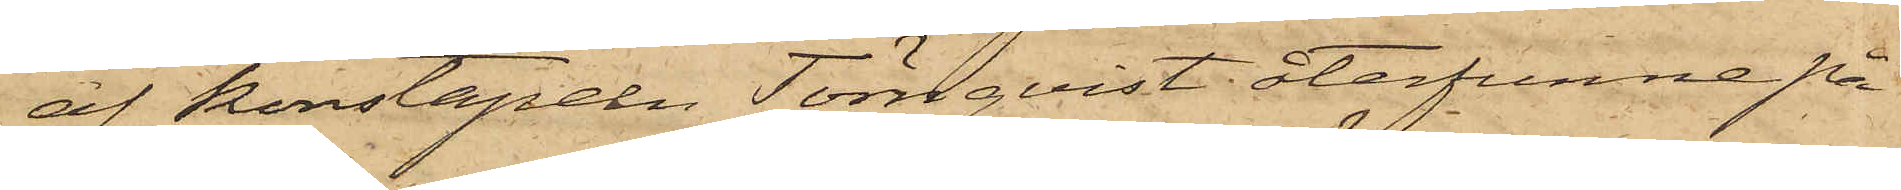af konstapeln Törnqvist återfunne på
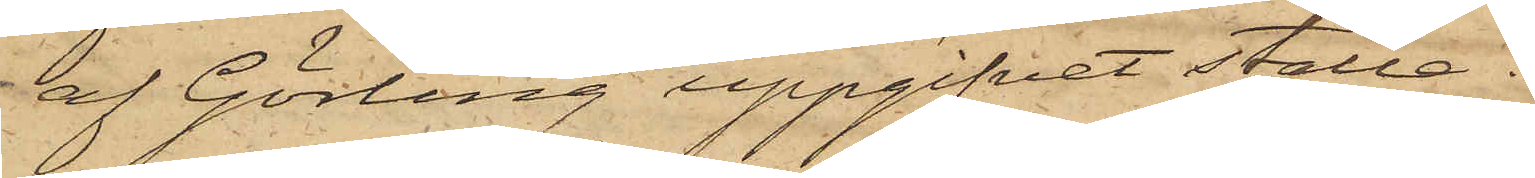af Görling uppgifvet ställe.
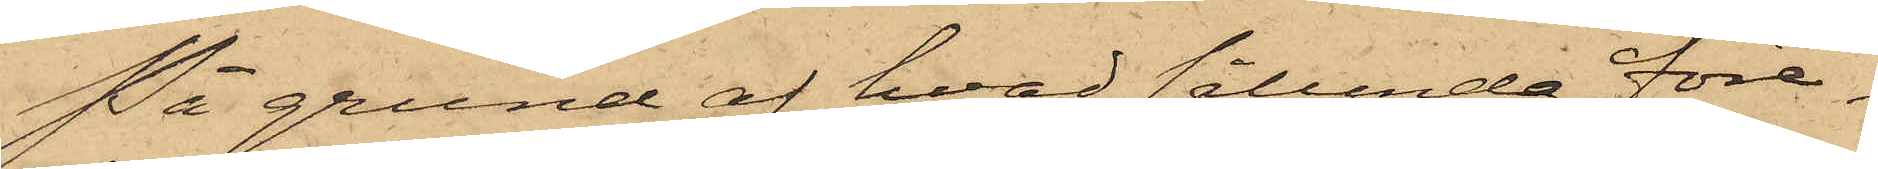På grund af hvad sålunda före¬
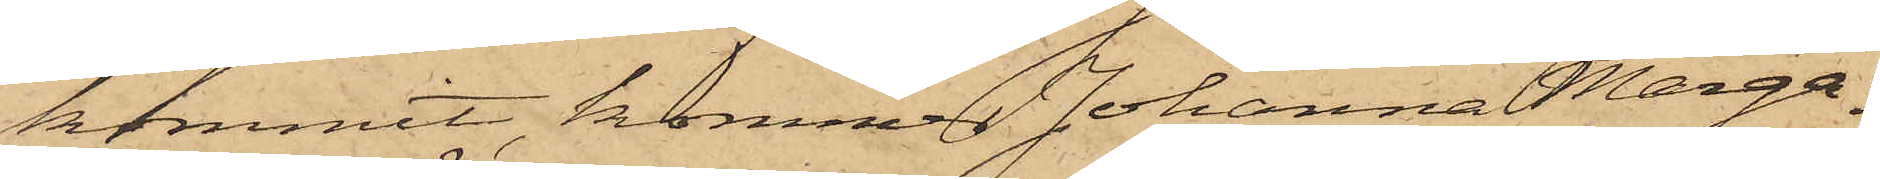kommit kommer Johanna Marga¬
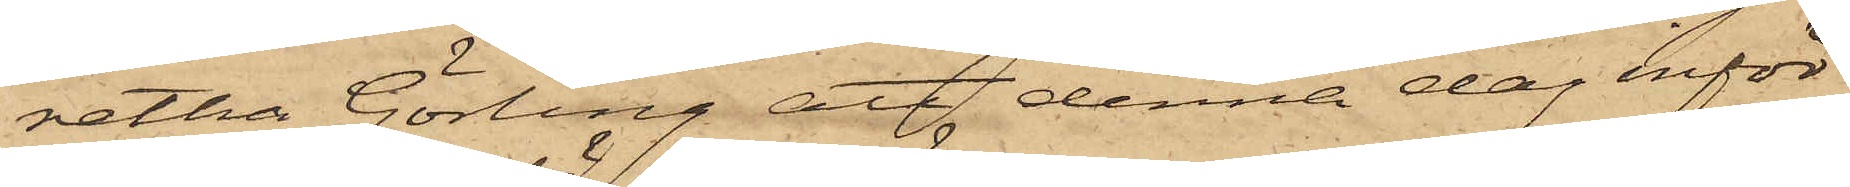retha Görling att denna dag inför
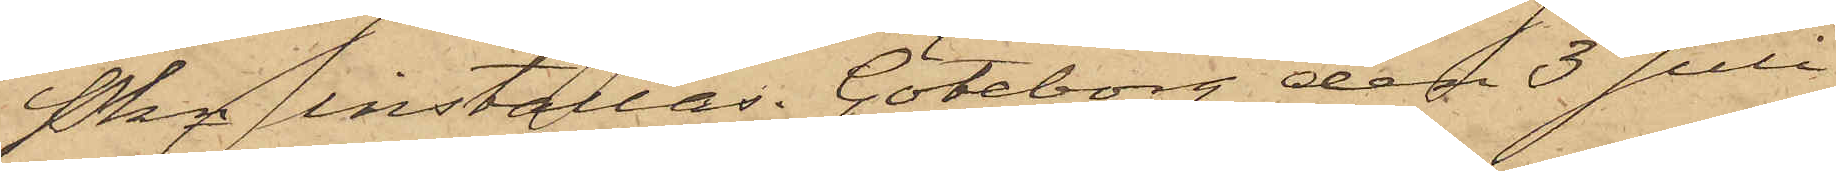Pkn inställas. Göteborg den 3 Juli
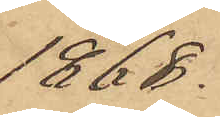1868.
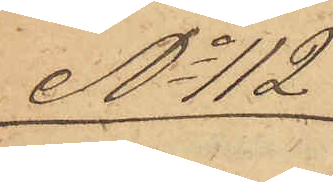No 112
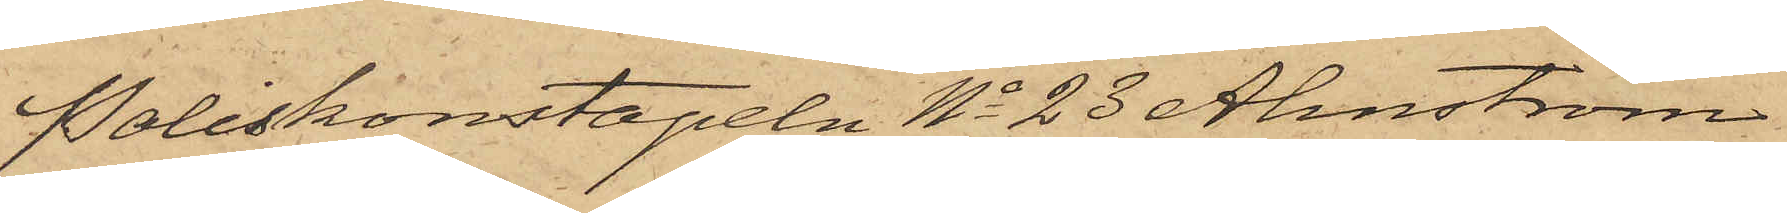Poliskonstapeln No 23 Ahnström
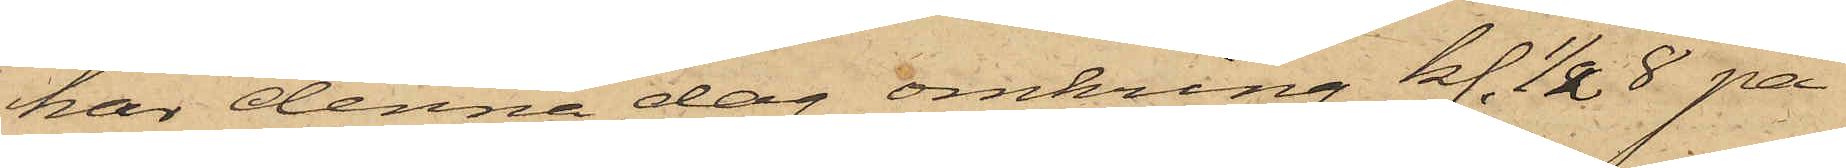har denna dag omkring kl. 1/2 8 på
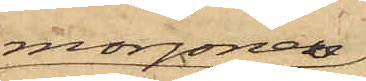morgonen
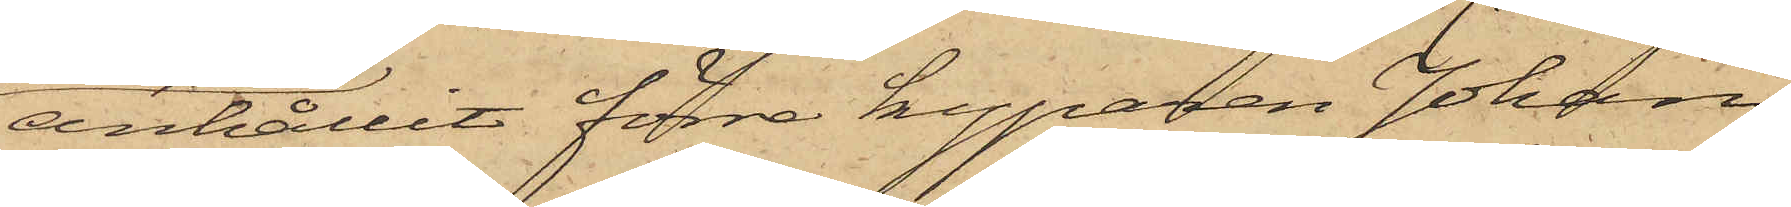anhållit förre kyparen Johan
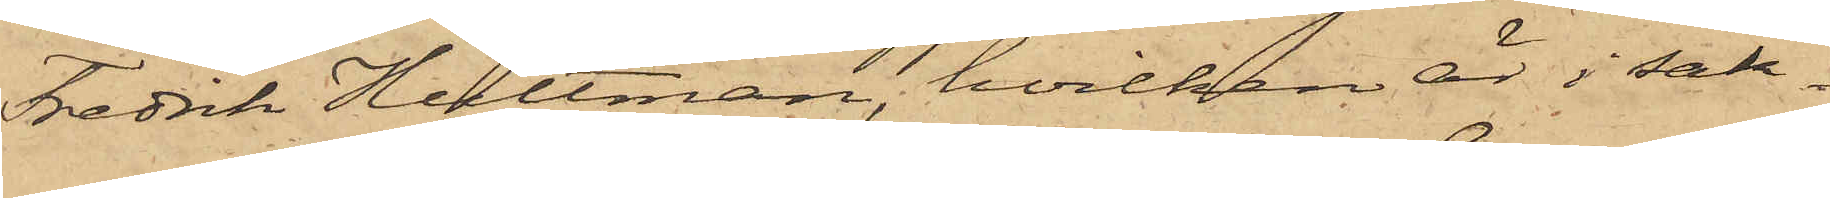Fredrik Hultman, hvilken är i sak¬
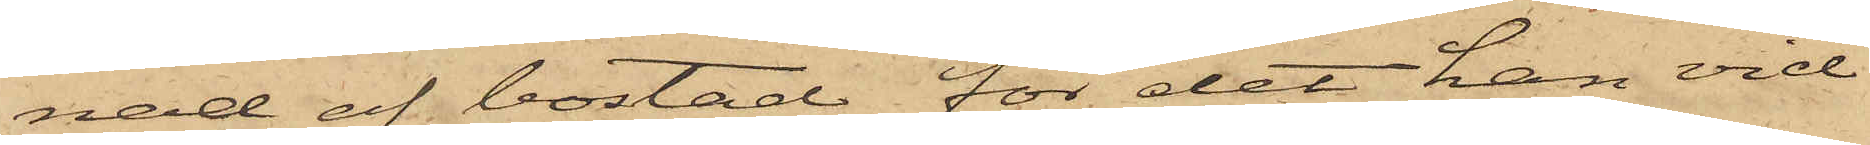nad af bostad, för det han vid
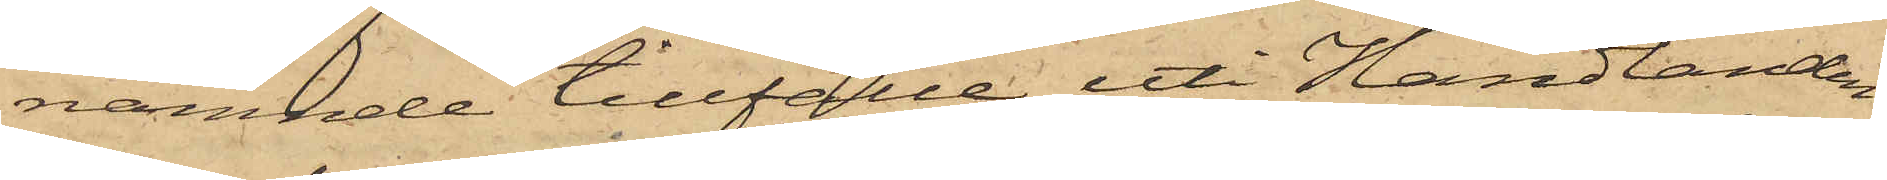nämnde tillfälle uti Handlanden
